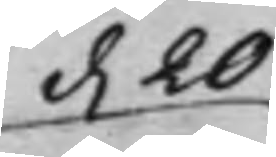d. 20
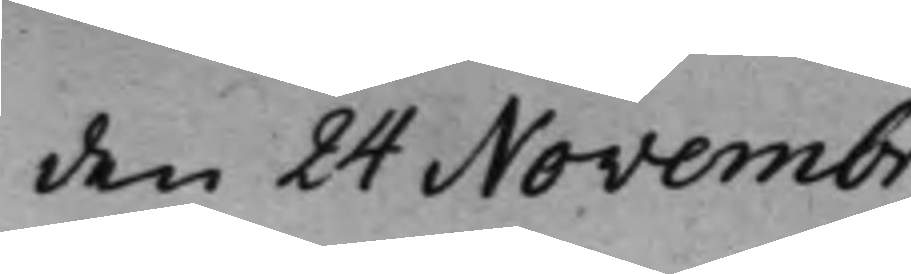den 24 Novembr.
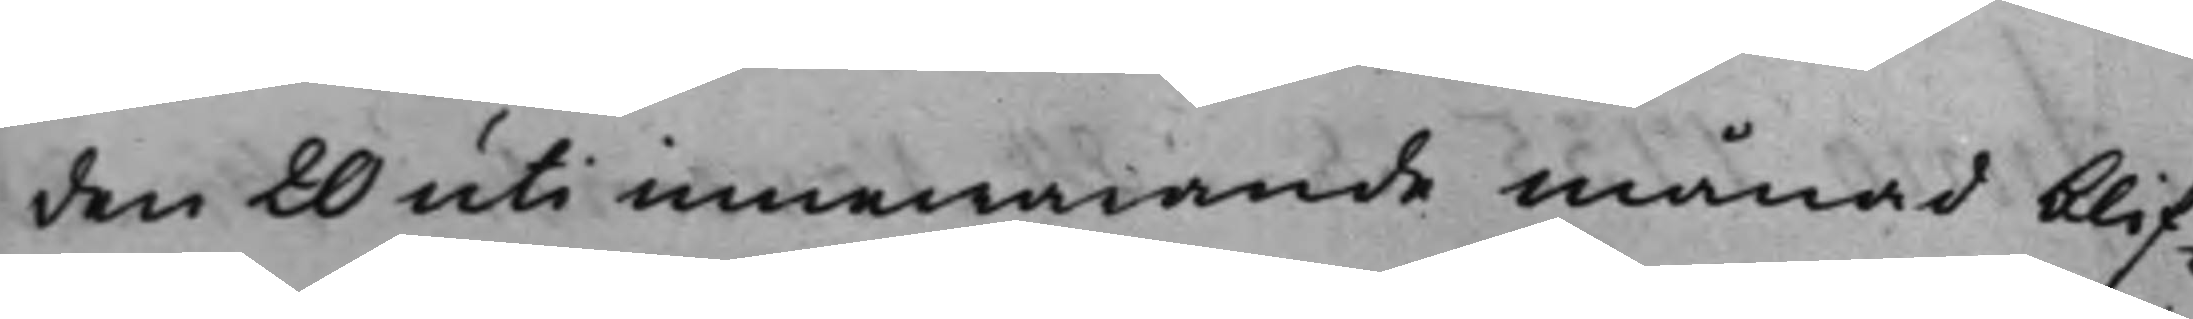den 20 uti innewarande månad blif¬
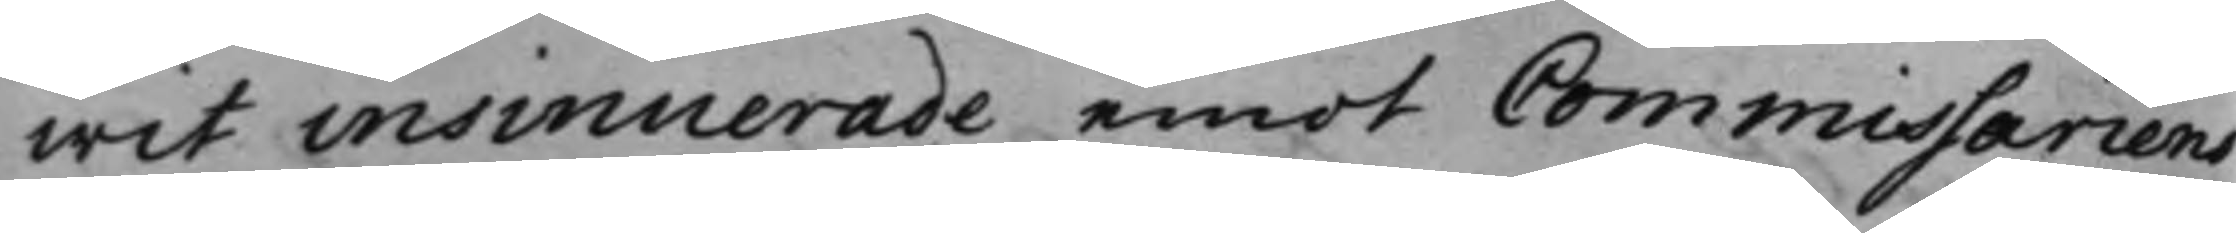wit insinuerade emot Commissariens
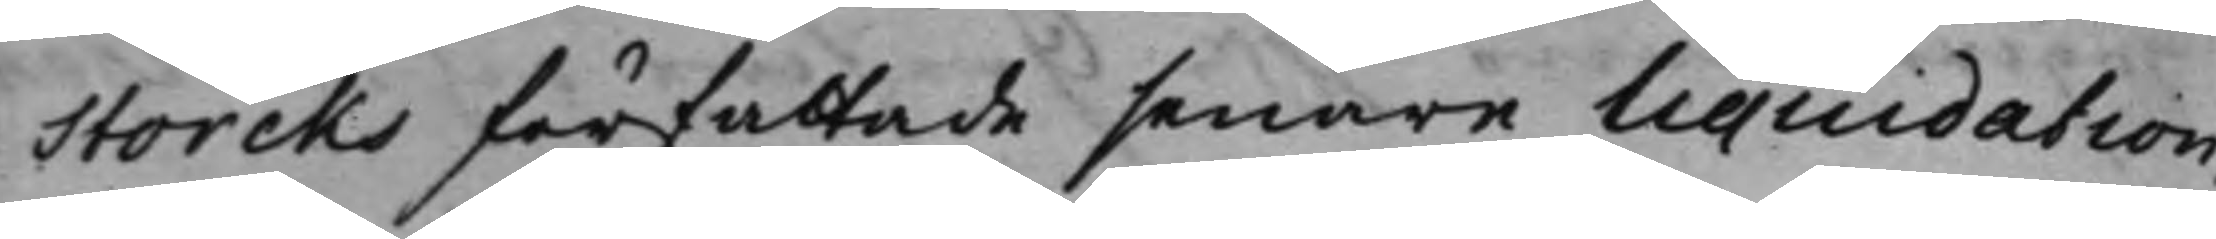Storcks författade senare Liquidation,
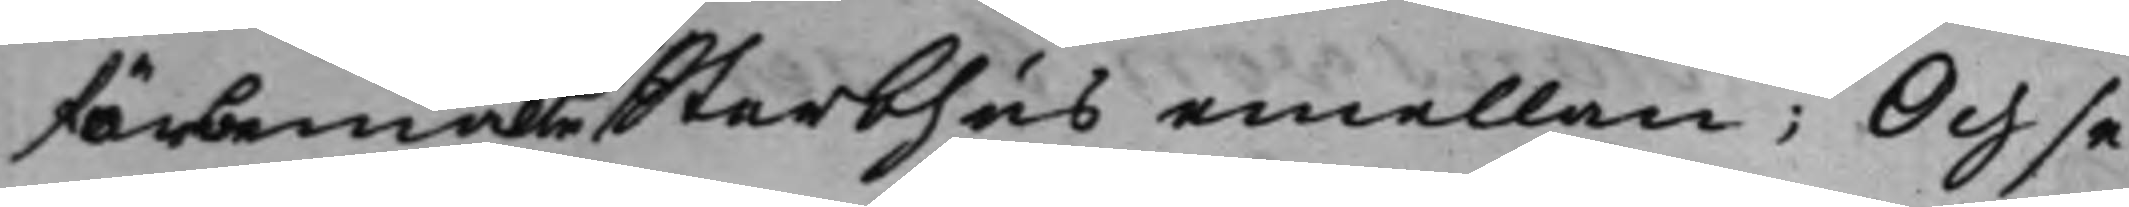förbemälte Sterbhus emellan; Och se¬
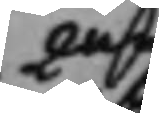2ne
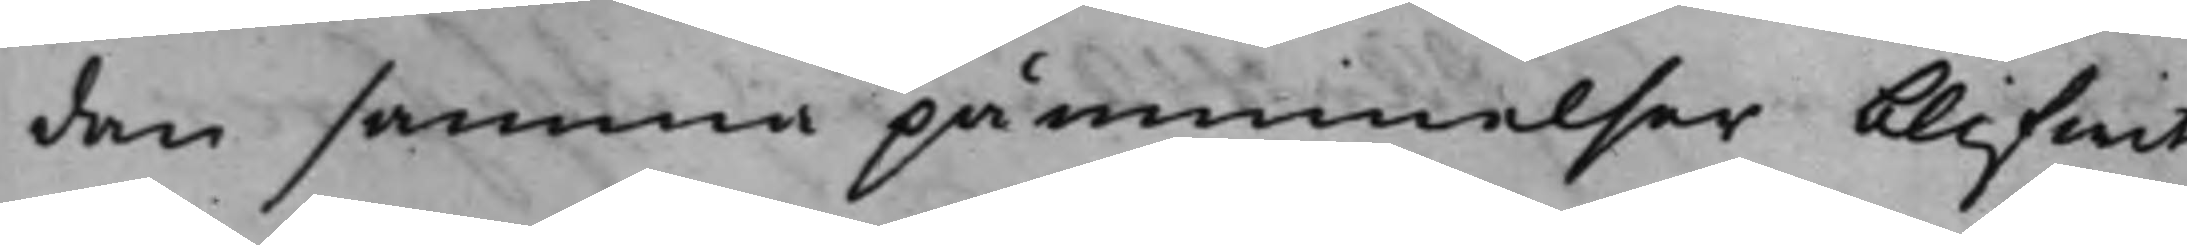dan samma påminnelser blifwit
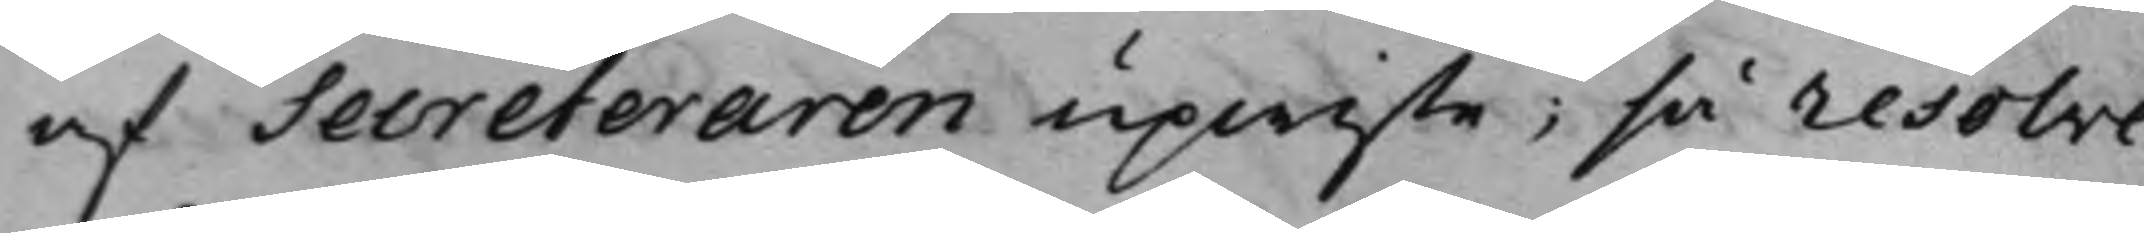af Secreteraren upwiste; så resolve¬
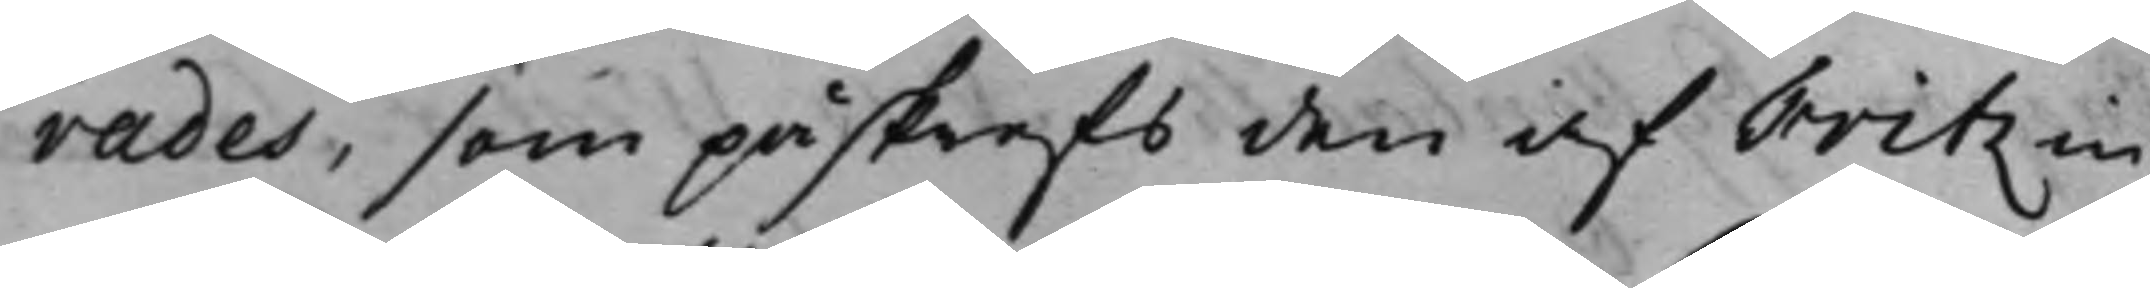rades, som påskrefs den af Fritz in¬
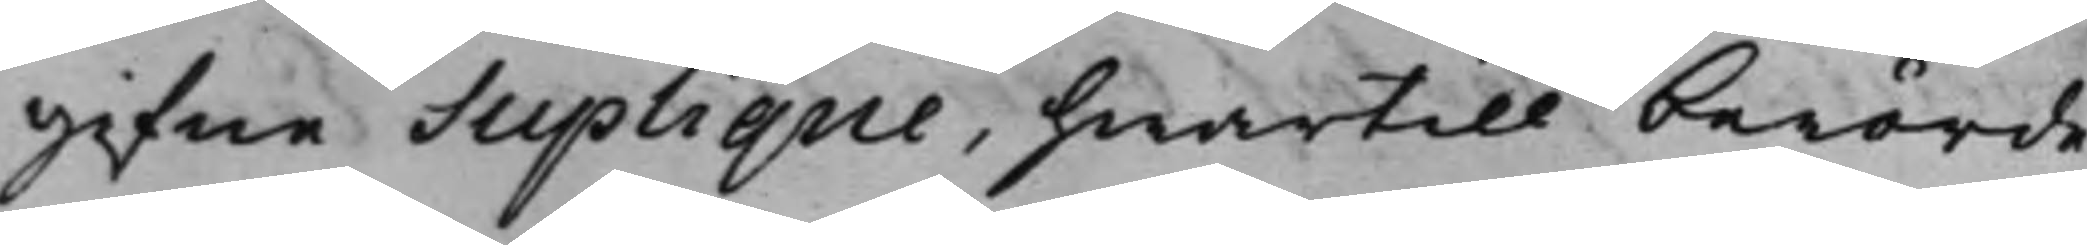gifne Supplique, hwartill berörde
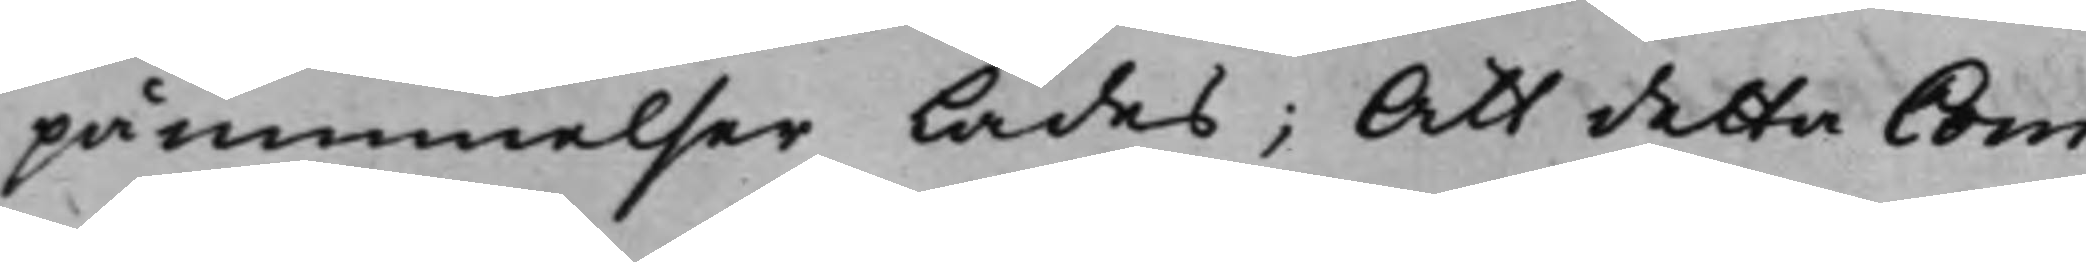påminnelser lades; Att detta Com¬
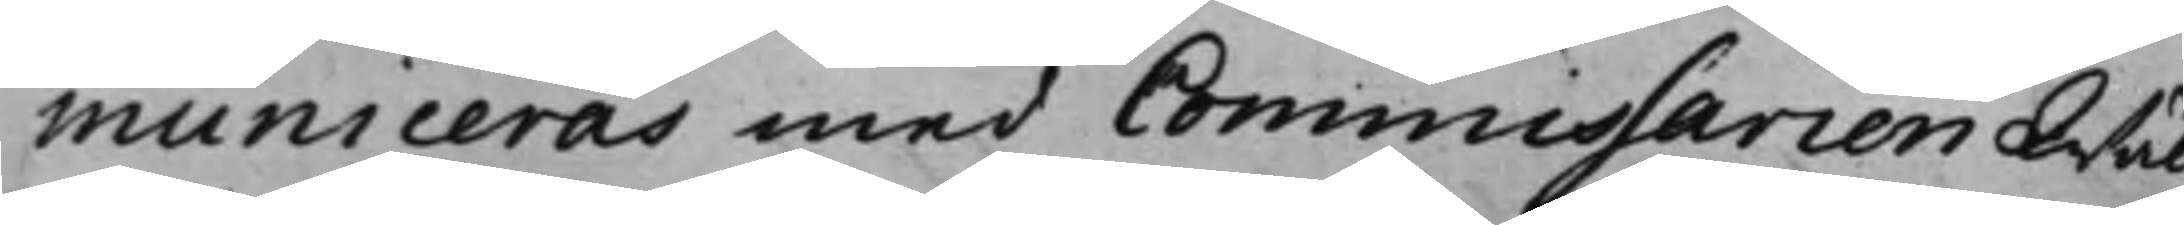municeras med Commissarien Wäl¬
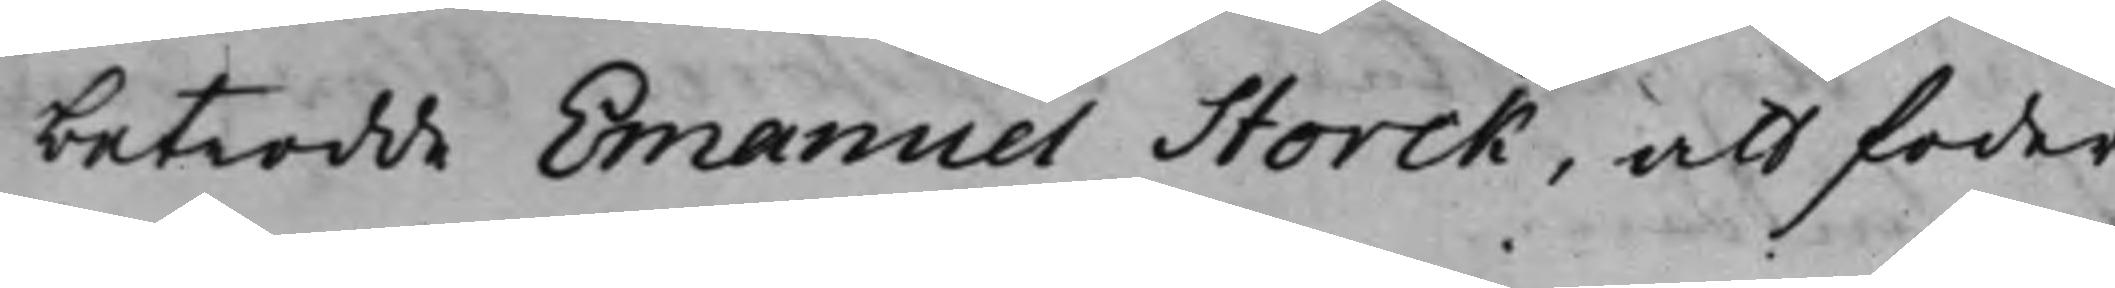betrodde Emanuel Storck, att foder¬
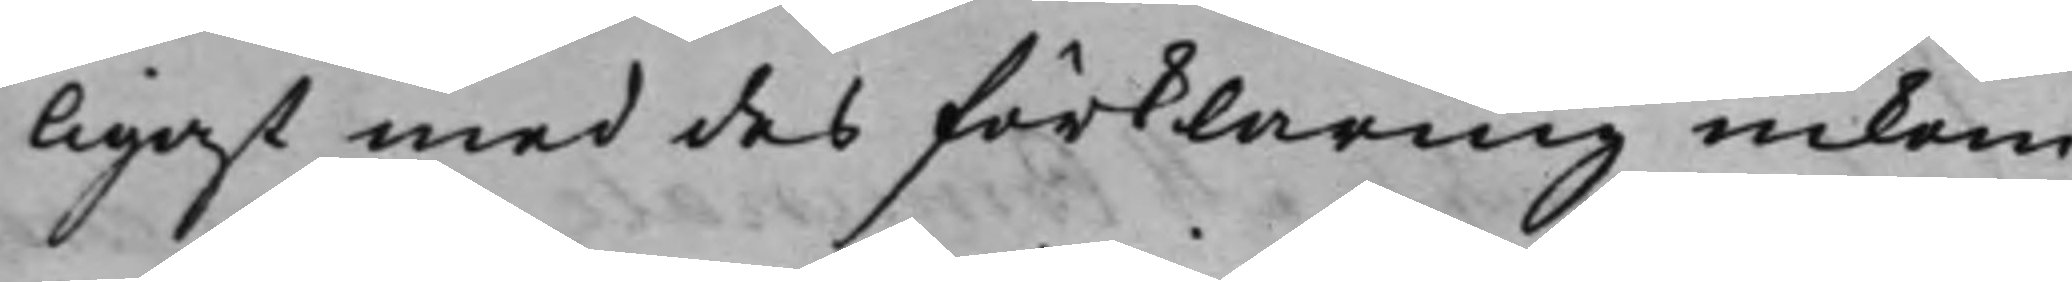ligast med des förklaring inkom¬
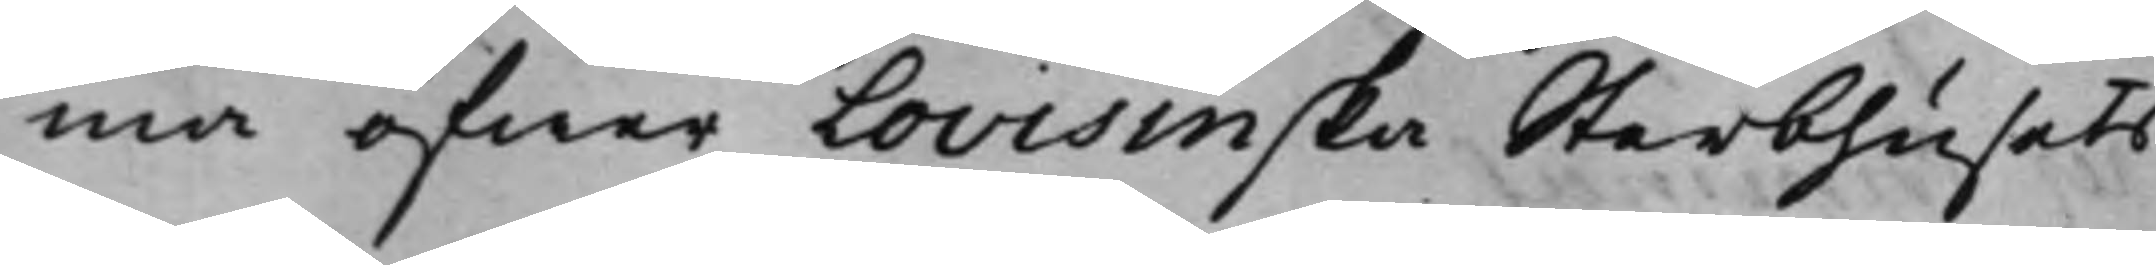ma öfwer Lovisinska Sterbhusets
